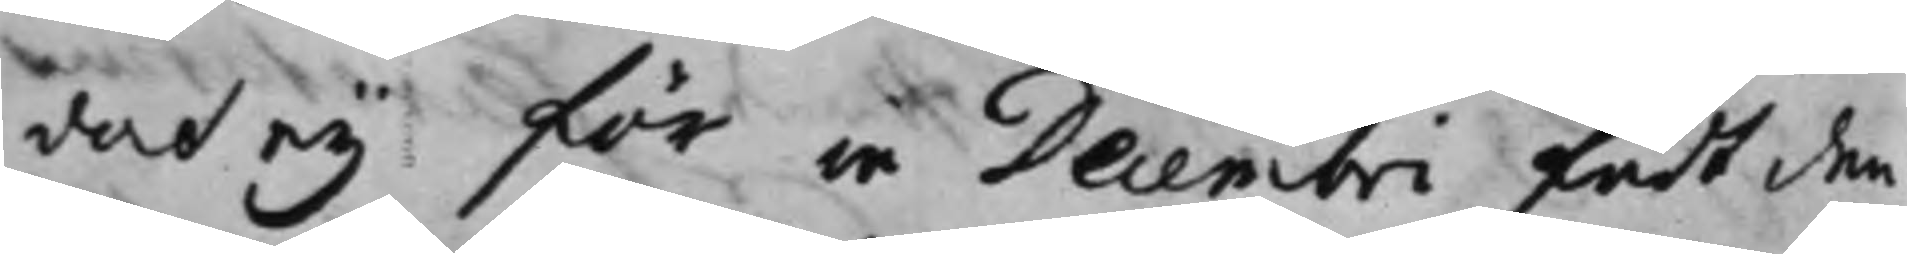doch ey för in Decembri fådt den¬
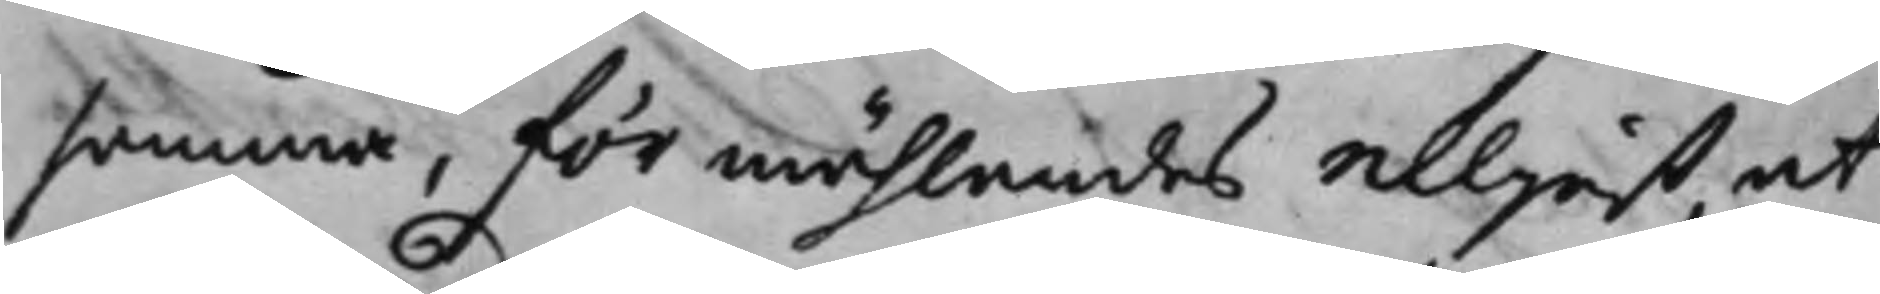samma, förmählandes elljest, at
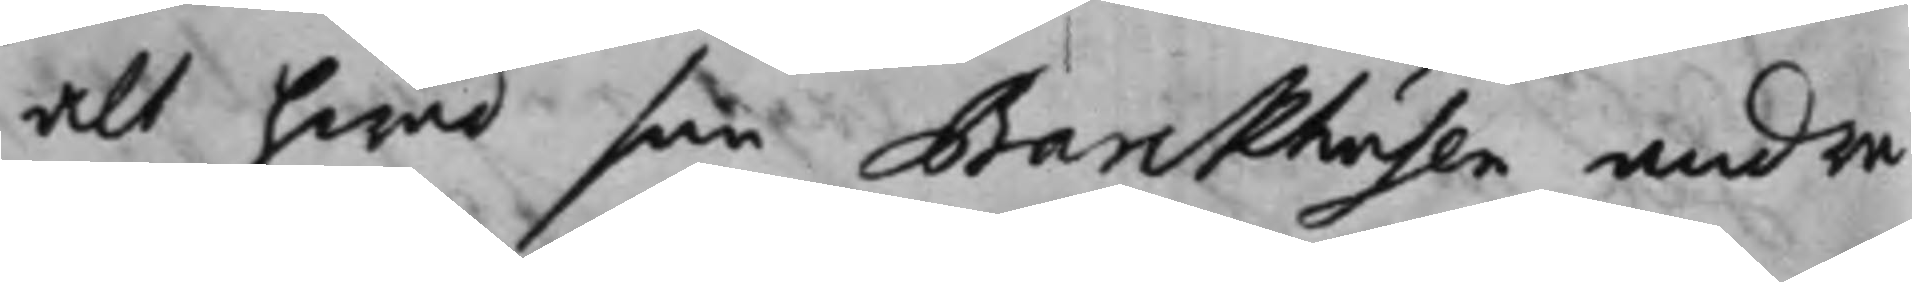alt hwad som Barckhusen andra¬
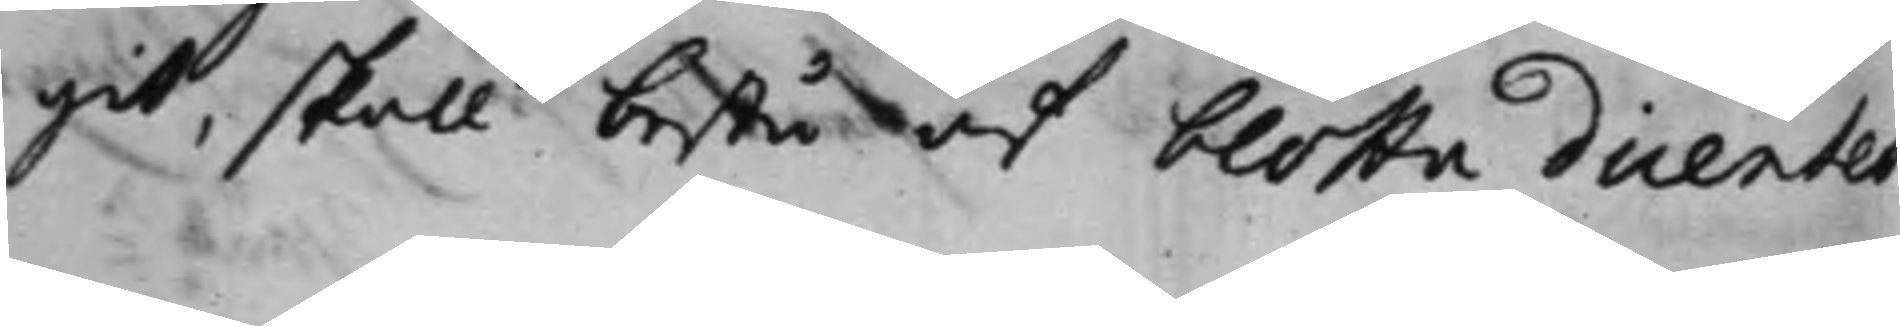git, skall bestå af blotta dicentes
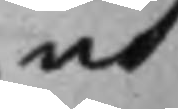och
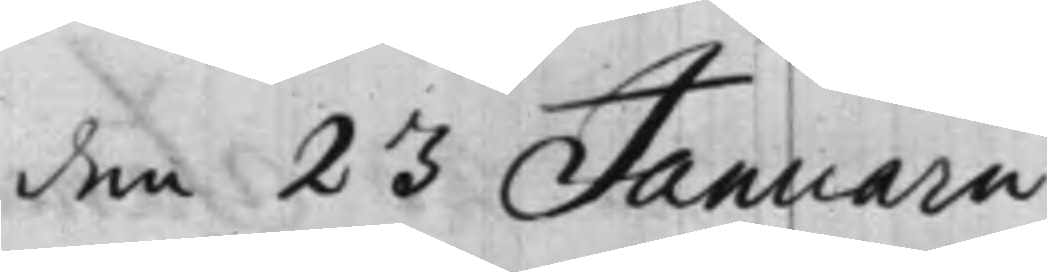den 23 Januarii
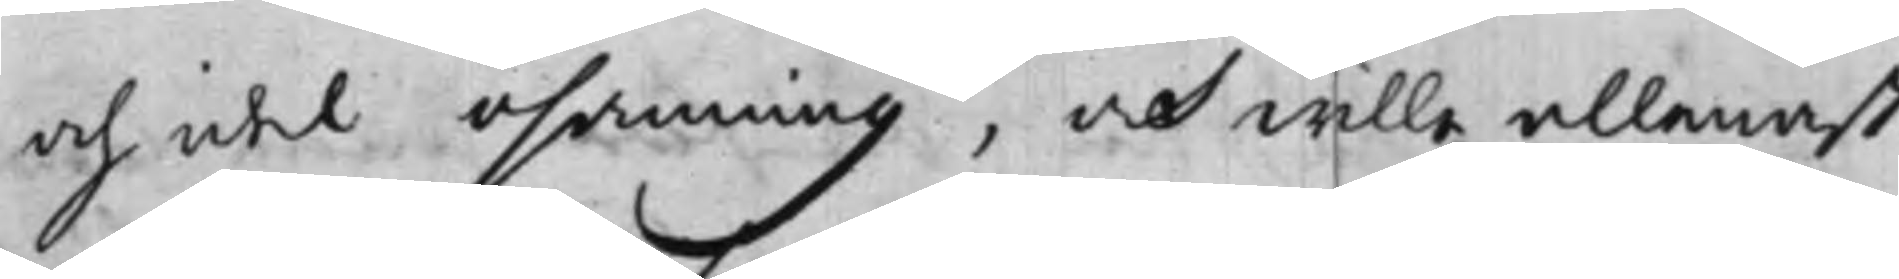och idel osanning, och wille allenast
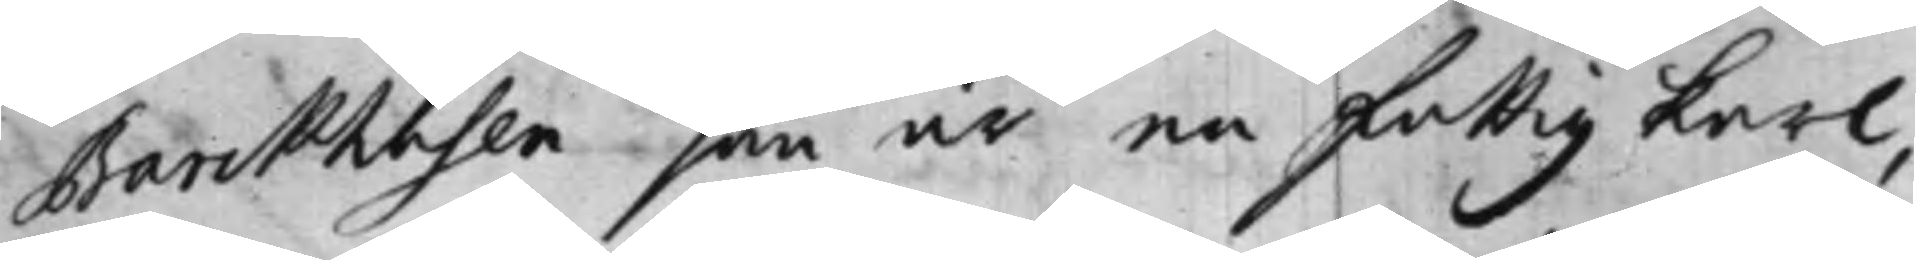Barckhusen som är en fattig karl,
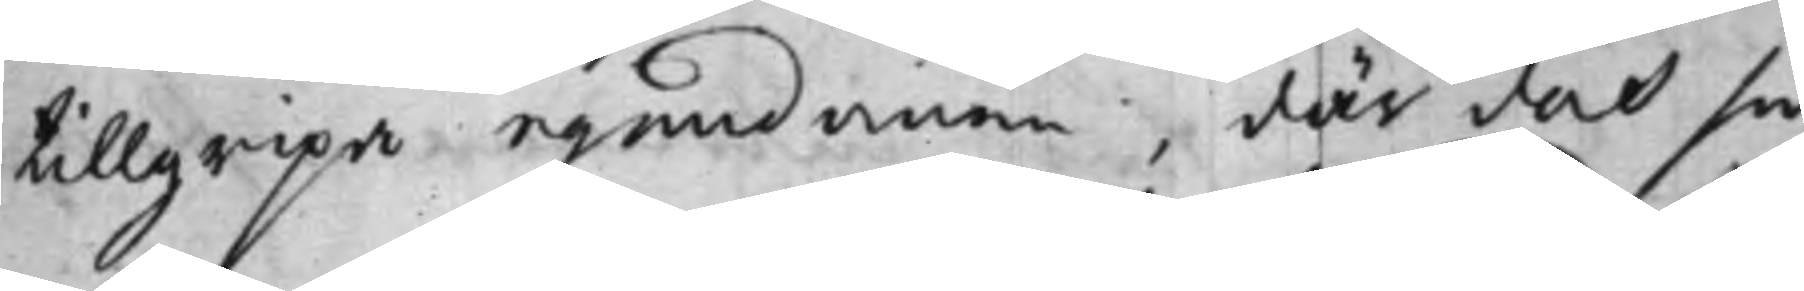tillgripa egendomen, där doch så
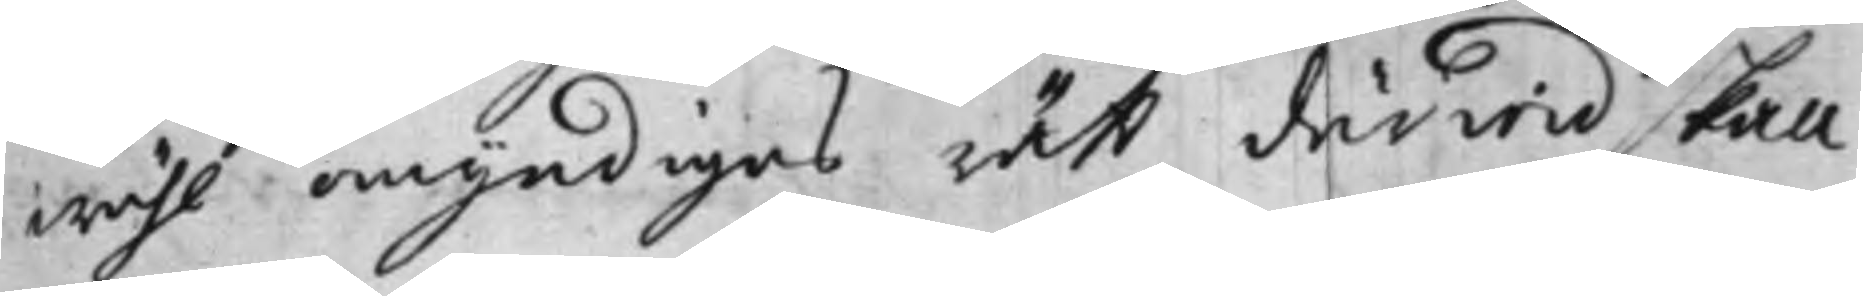wähl omyndigas rätt därwid skall
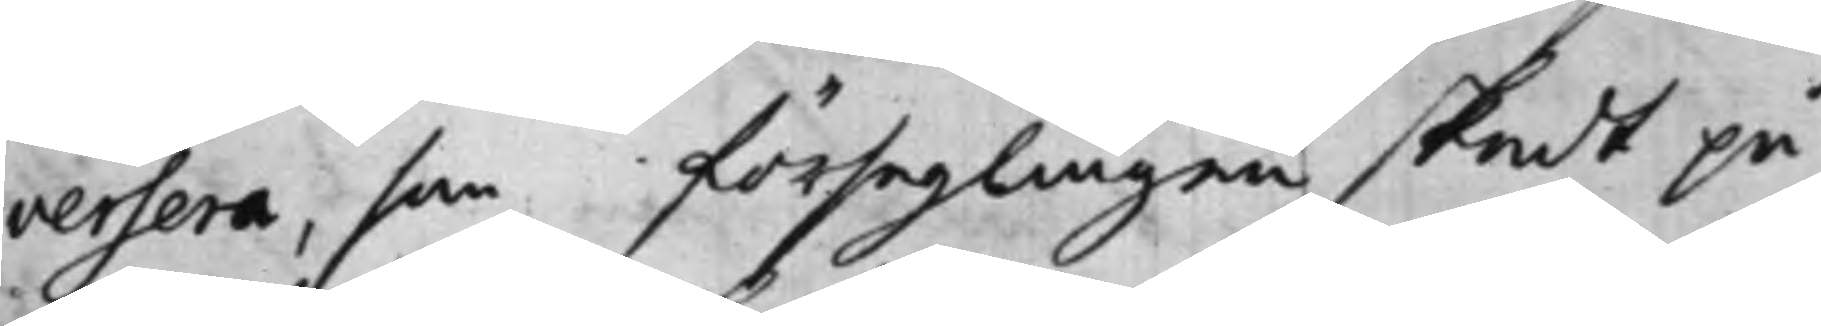versera, som förseglingen skedt på
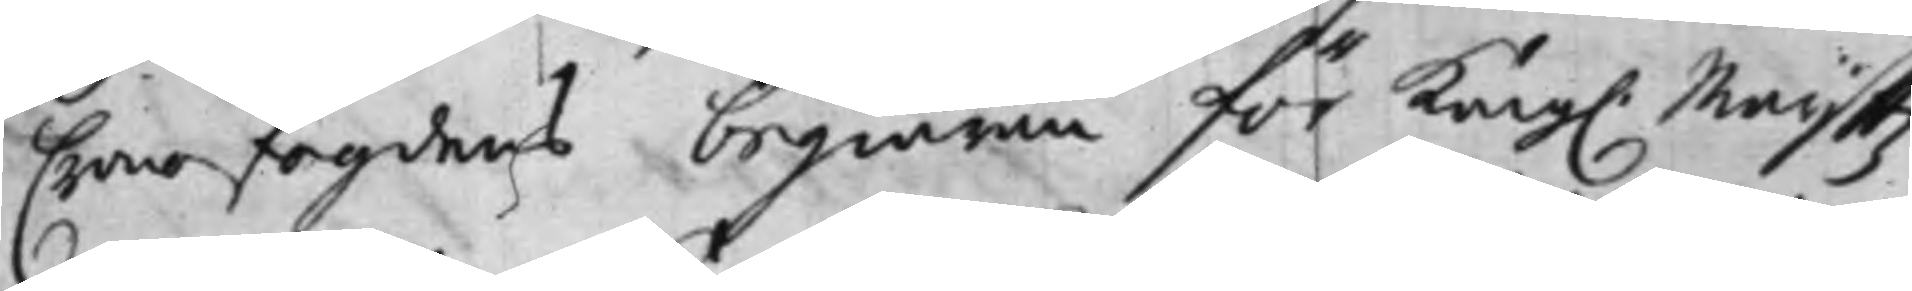Cronofogdens begiäran för Kong. Maijttz
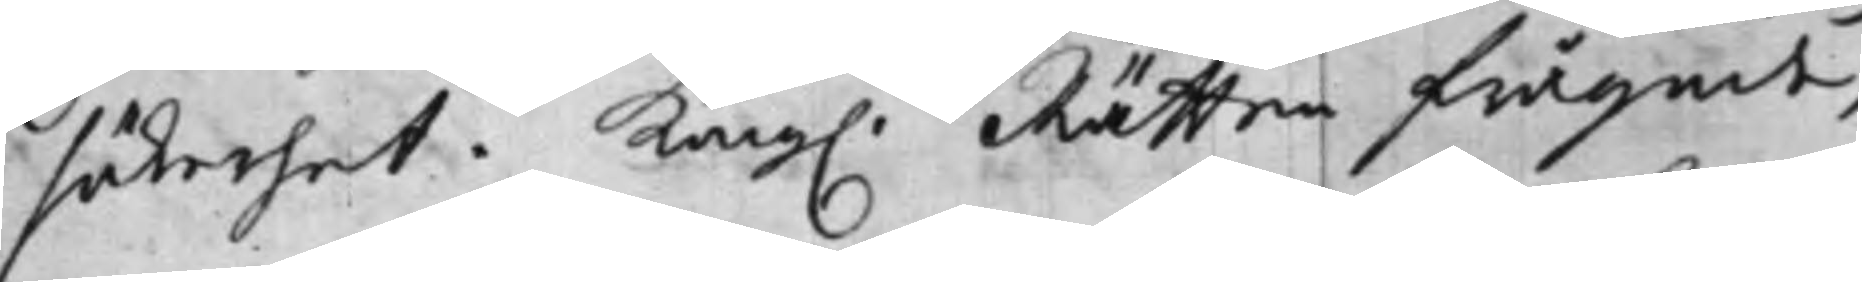säkerhet. Kong. Rätten frågade,
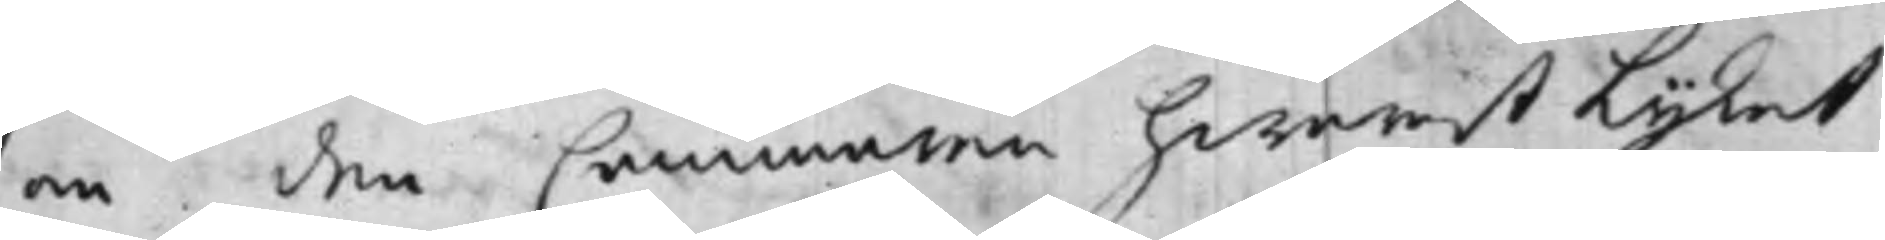om den Cammaren hwarest Lijket
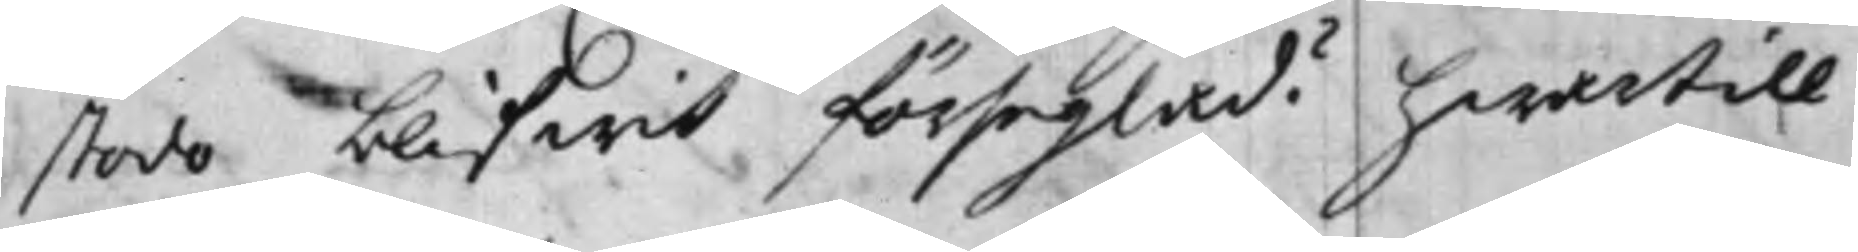stodo, blifwit förseglad? hwartill
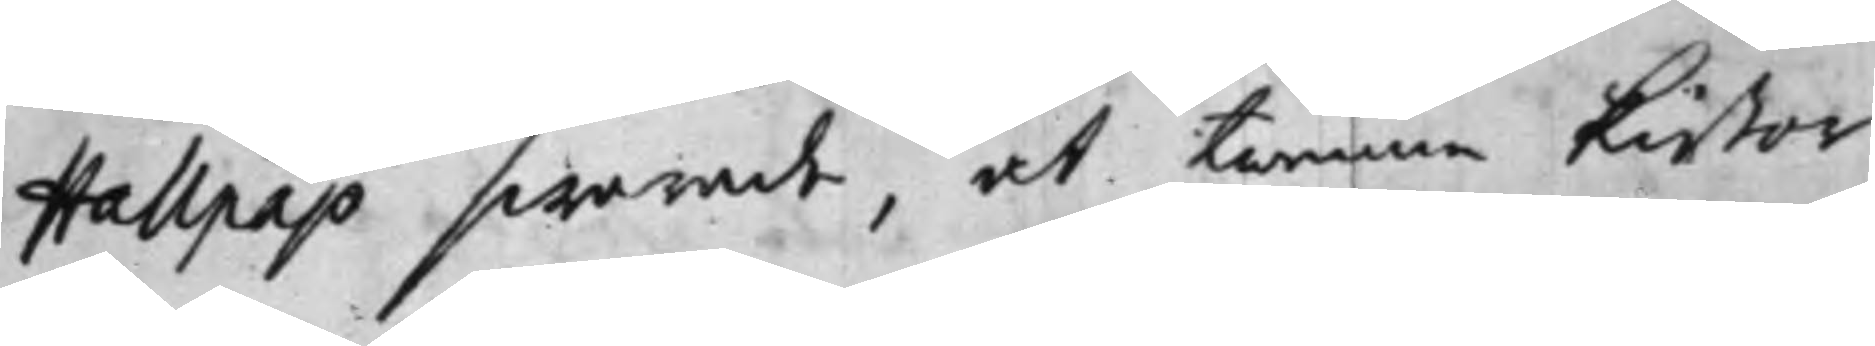Hallpap swarade, at twenne kistor
